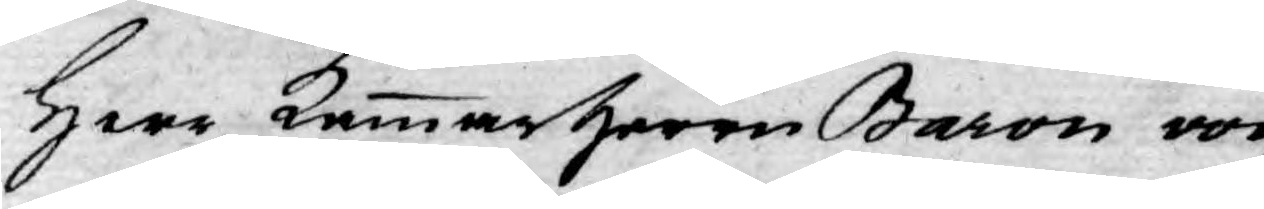Herr Kammarherrn Baron von
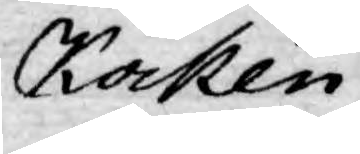Kocken,
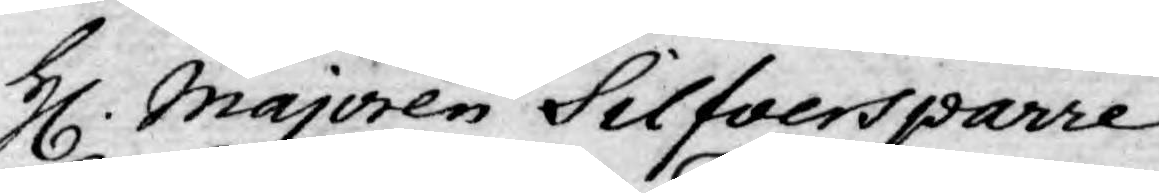H. Majoren Silfversparre,
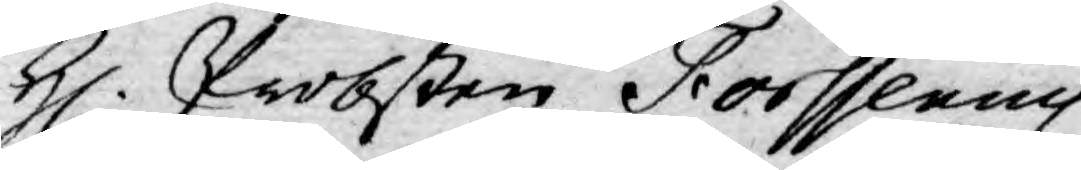H. Probsten Forssenius,
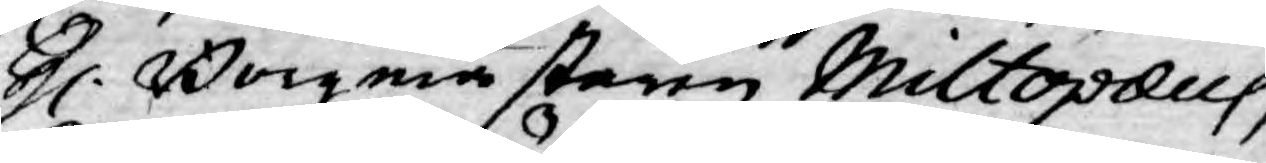H. Borgmästaren Miltopæus,
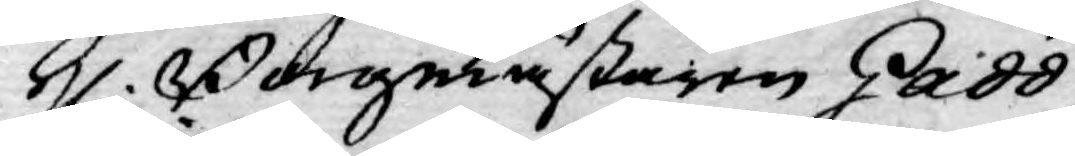H. Borgmästaren Gadd,
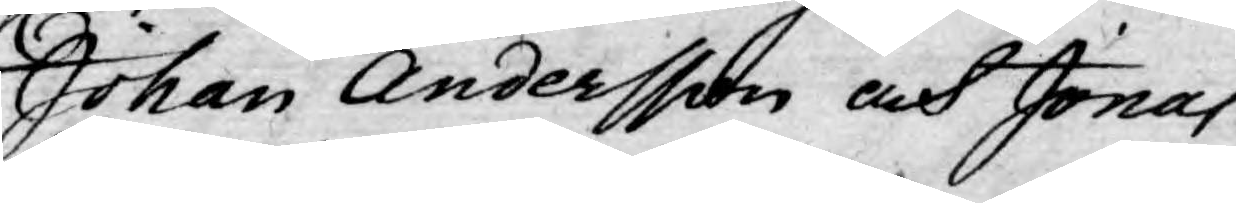Johan Andersson och Jonas
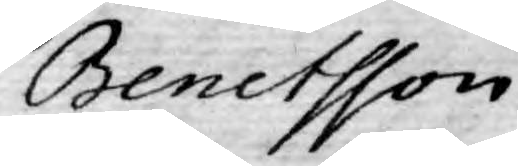Benctsson.
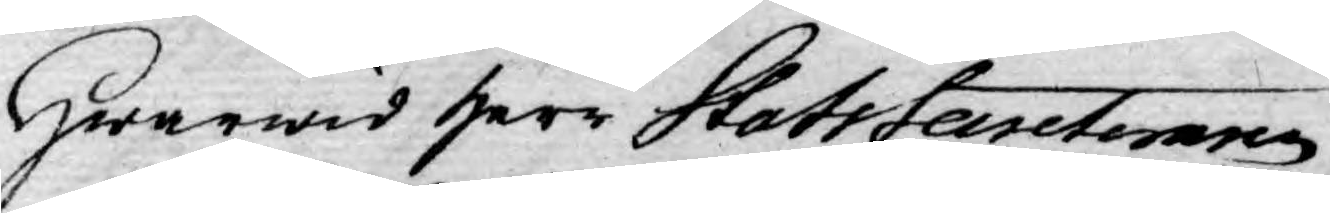Hwarwid Herr StatsSecreteren
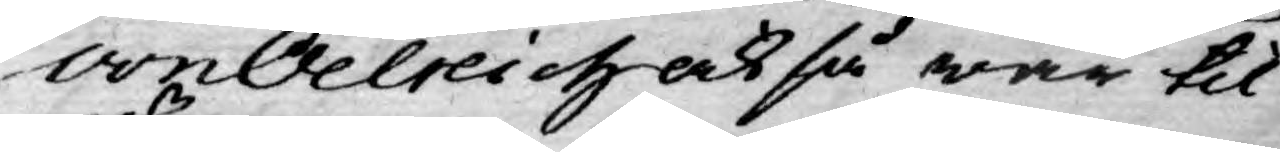von Oelreich ock så war til¬
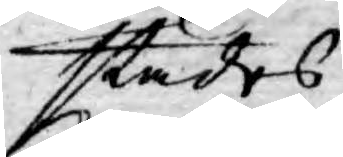städes.
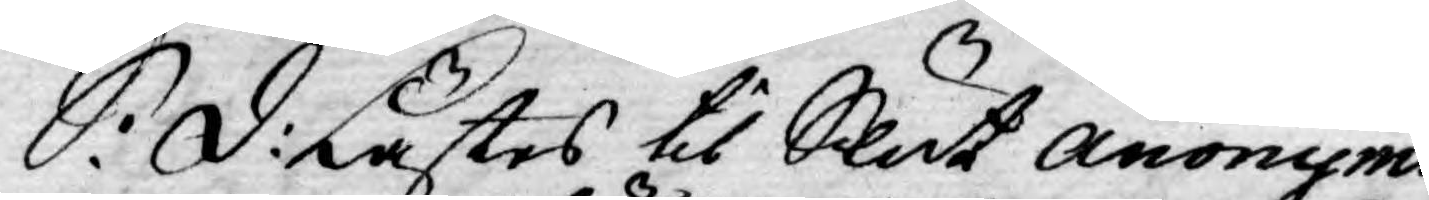S: D: Lästes til Slut Anomyme
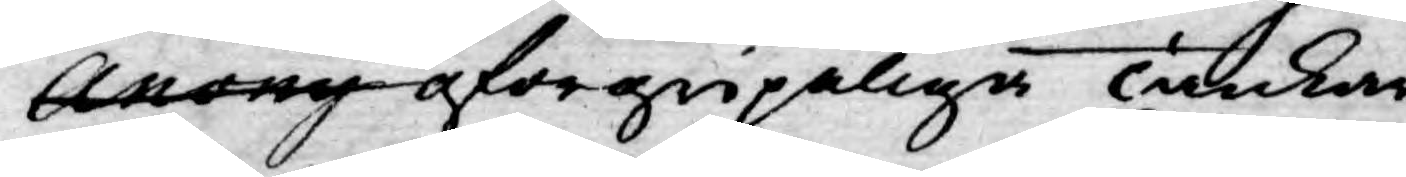Anony oförgripeliga Tankar
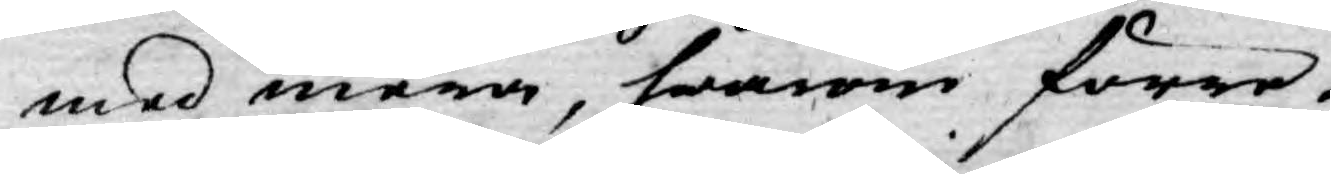med mera, honom förre
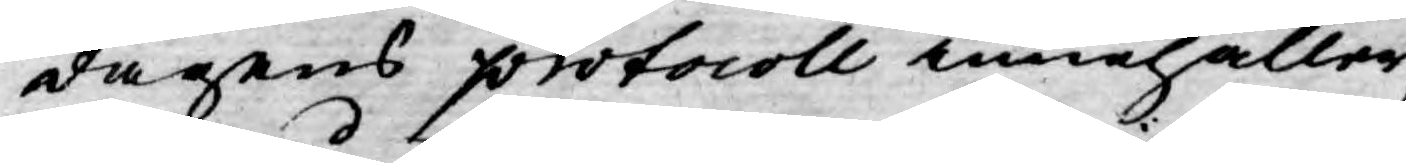dagens protocoll innehåller;
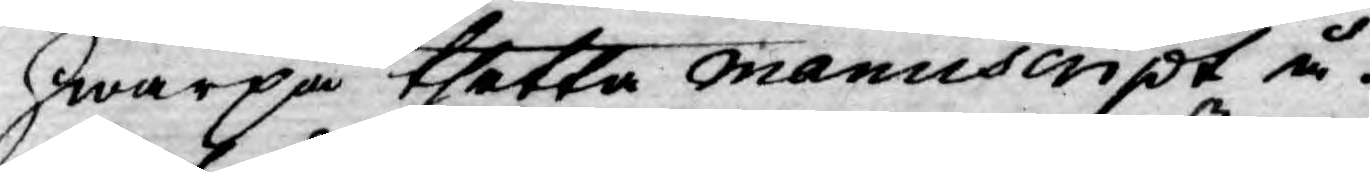hwarpå thetta Manuscript å¬
